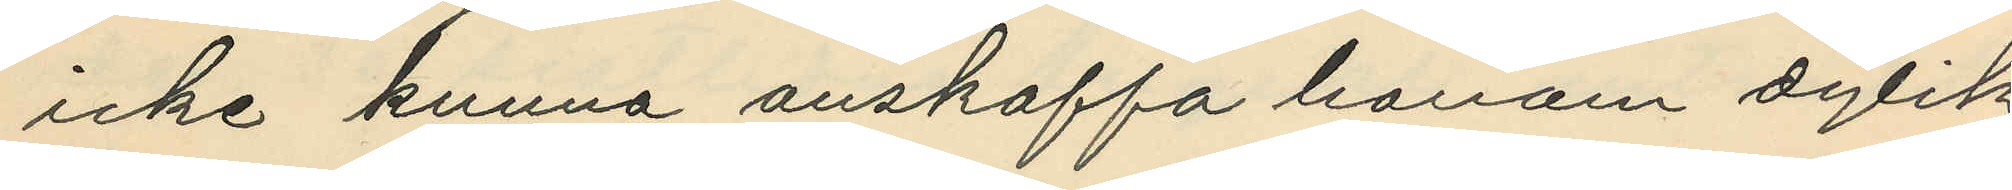icke kunna anskaffa honom dylik
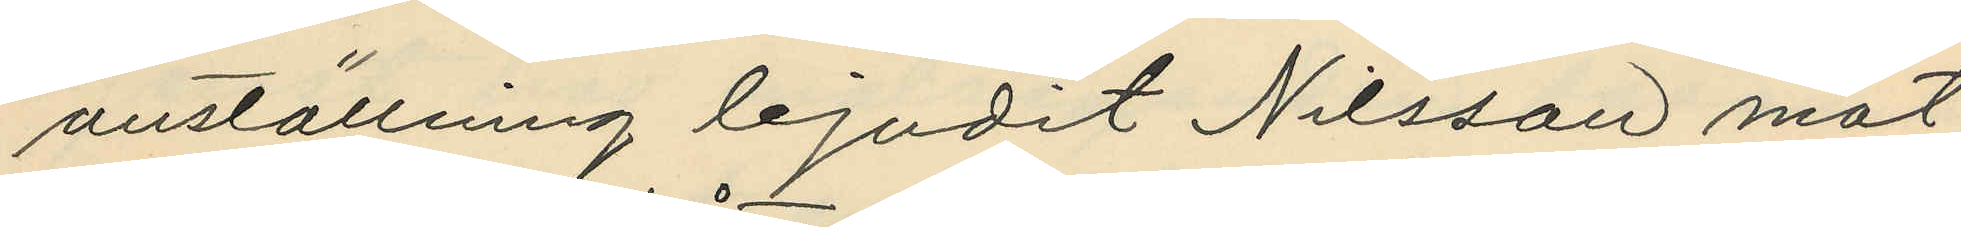anställning bjudit Nilsson mat
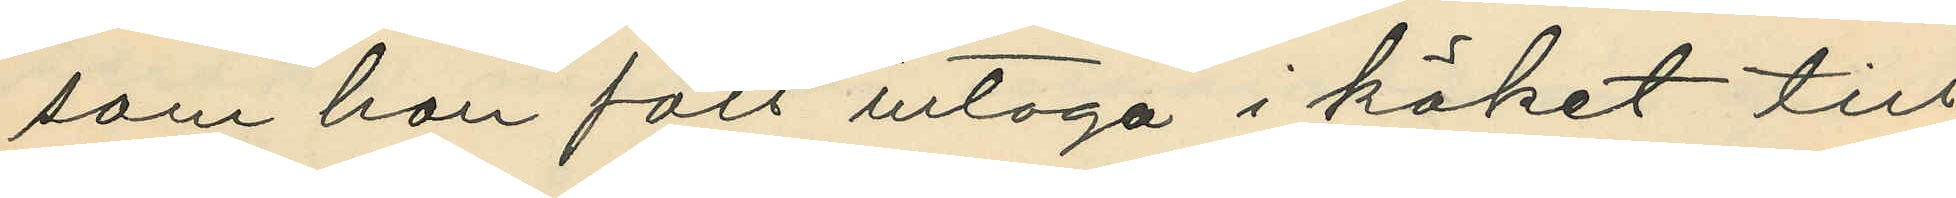som han fått intaga i köket till
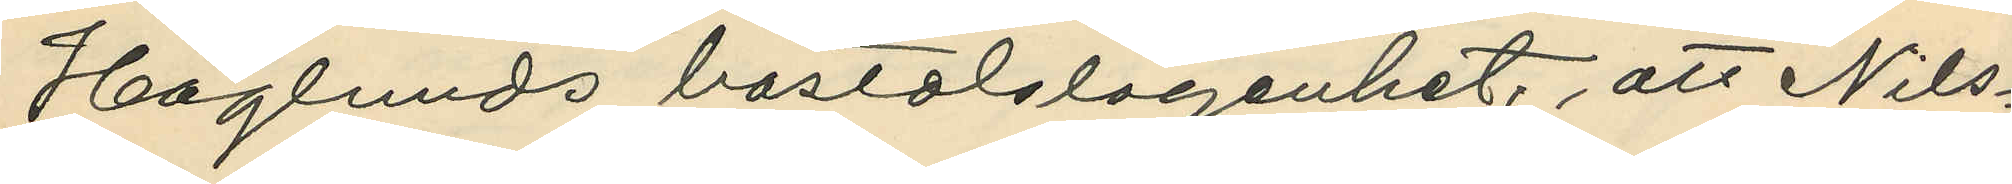Höglunds bostalslägenhet, att Nils¬
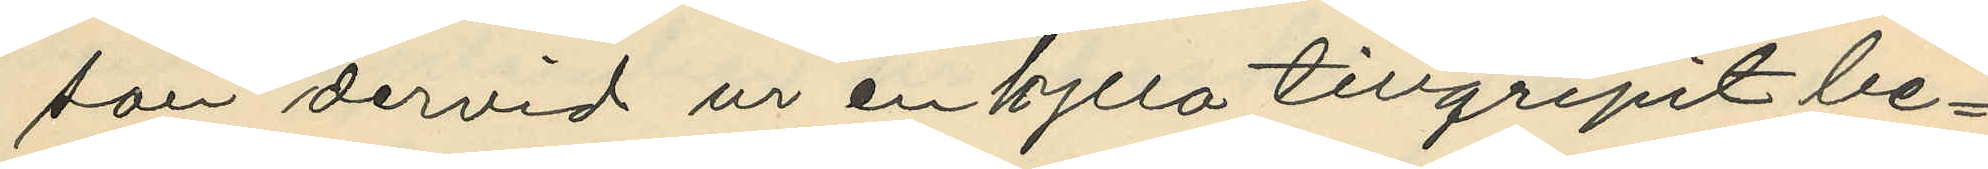son dervid ur en hylla tillgripit be¬
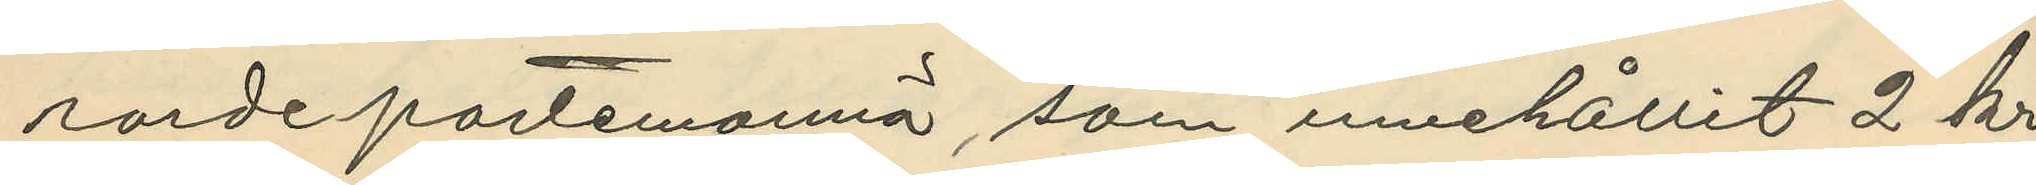rorde portemonnä, som innehållit 2 kr.
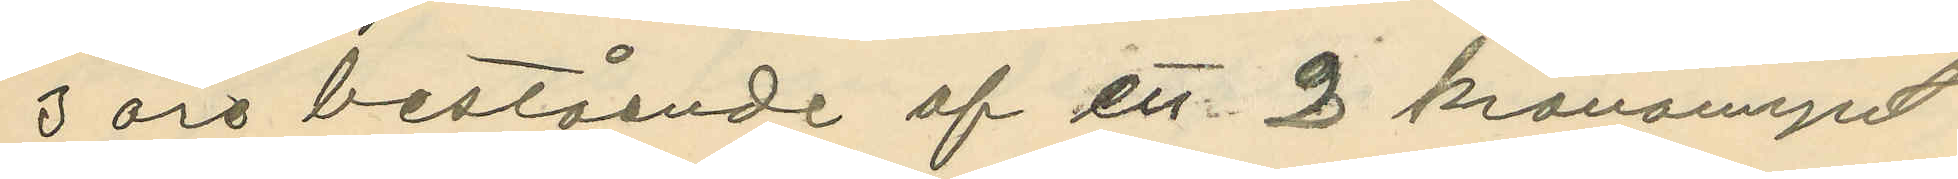3 öre bestående af ett 2 kronomynt
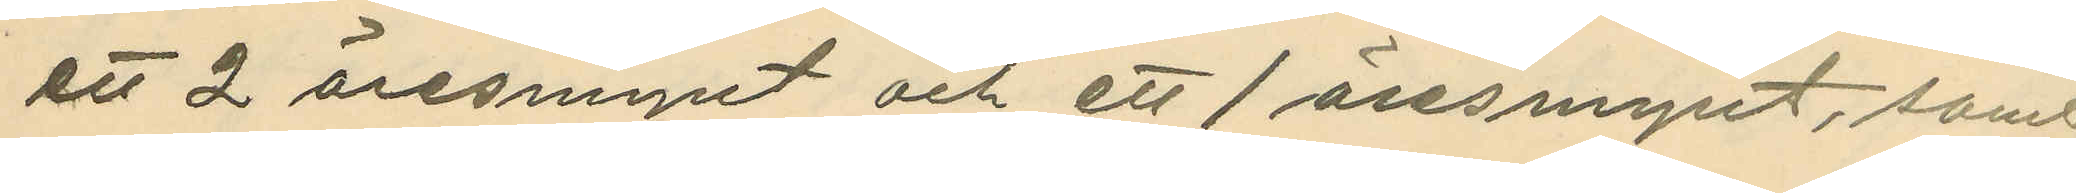ett 2 öresmynt och ett 1 öresmynt, samt
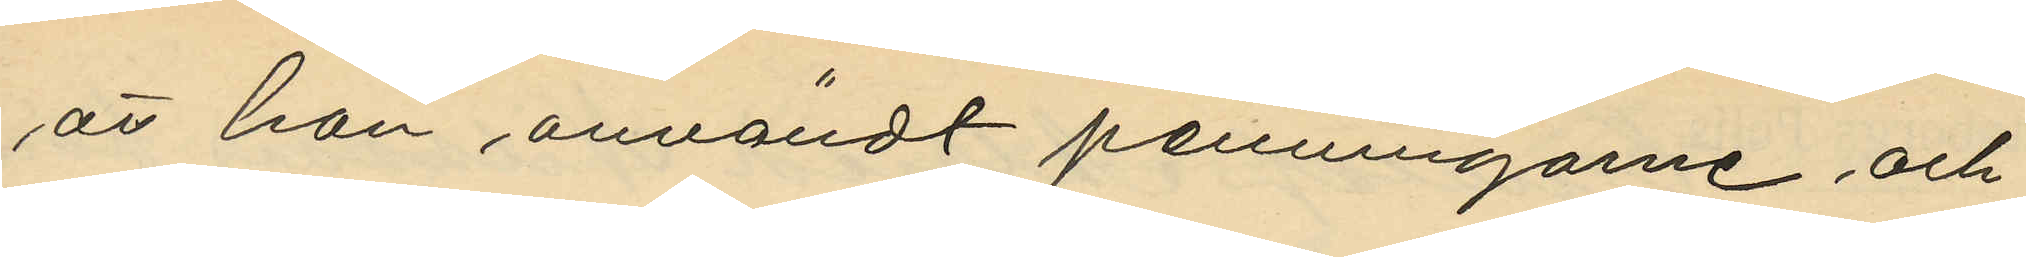att han användt penningarne och
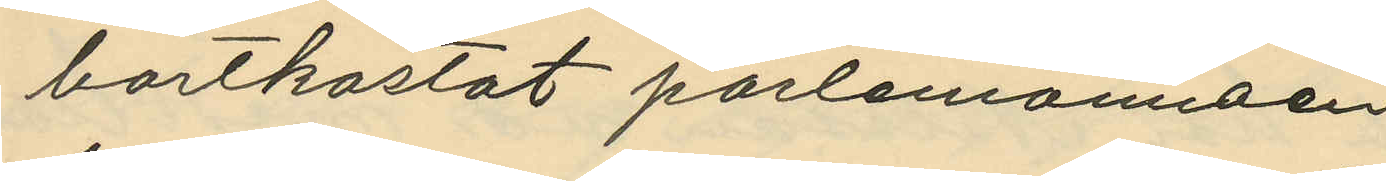bortkastat porlemonnaen
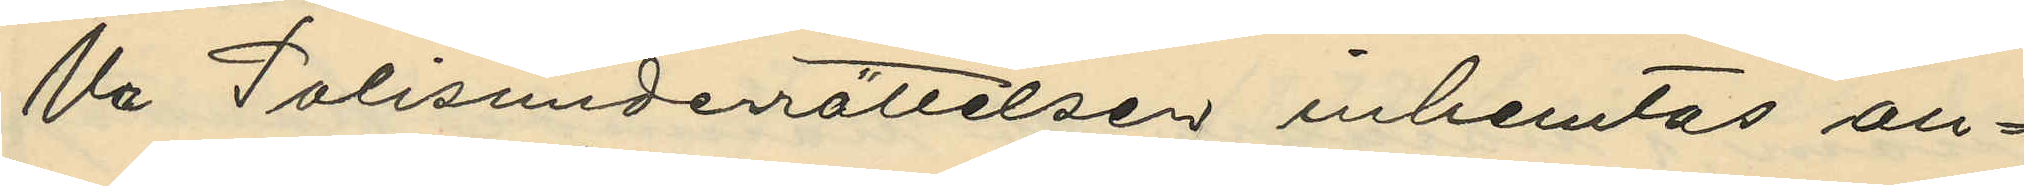Ur Polisunderrättelser inhemtas an¬
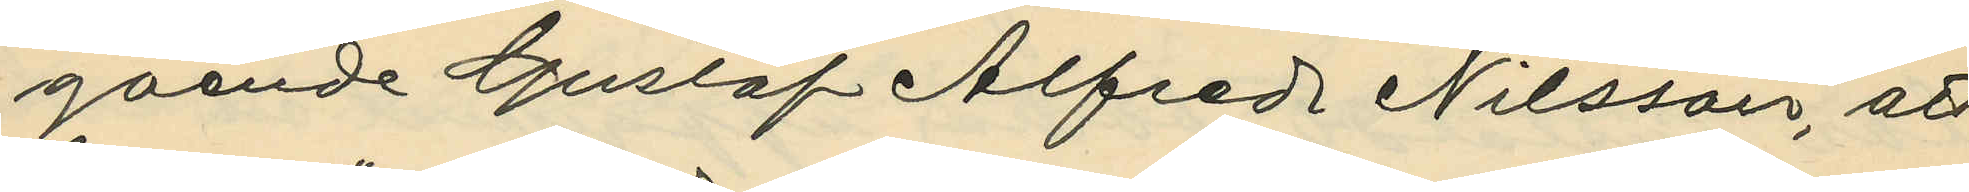gaende Gustaf Alfred Nilsson, att
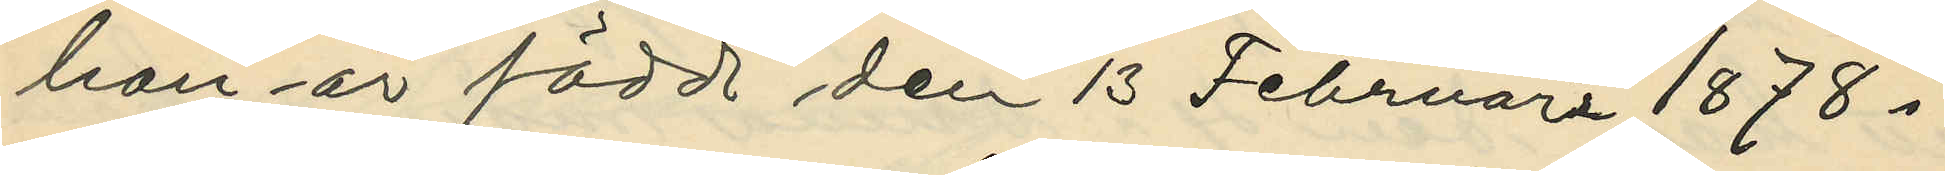han är född den 13 Februari 1878 i
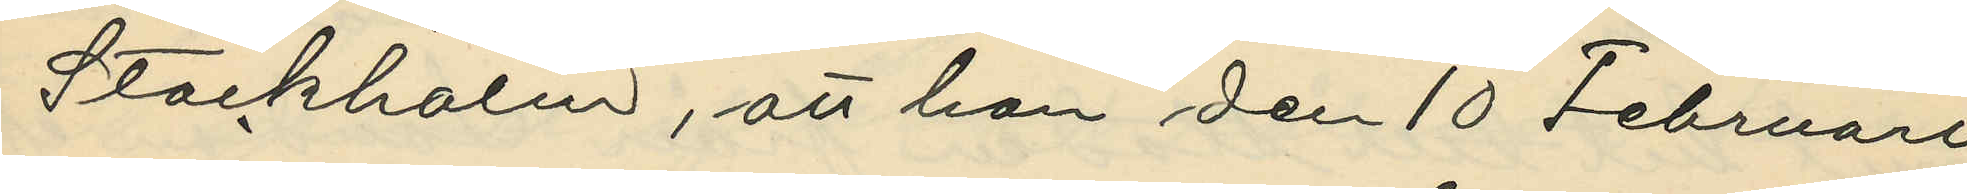Stockholm, att han den 10 Februari
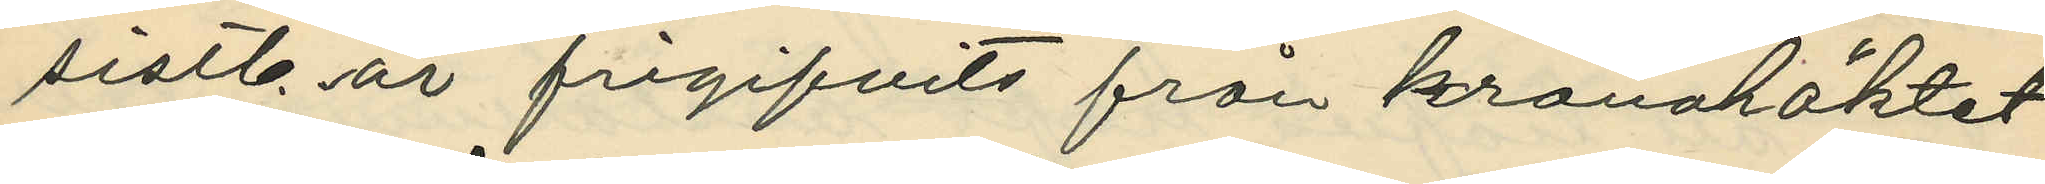sistl. år frigifvits från kronohäktet
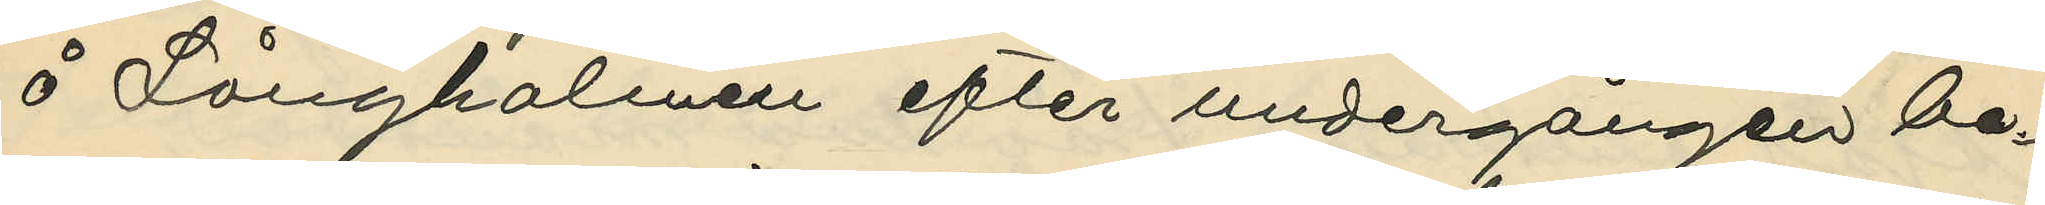å Långholmen efter undergången be¬
